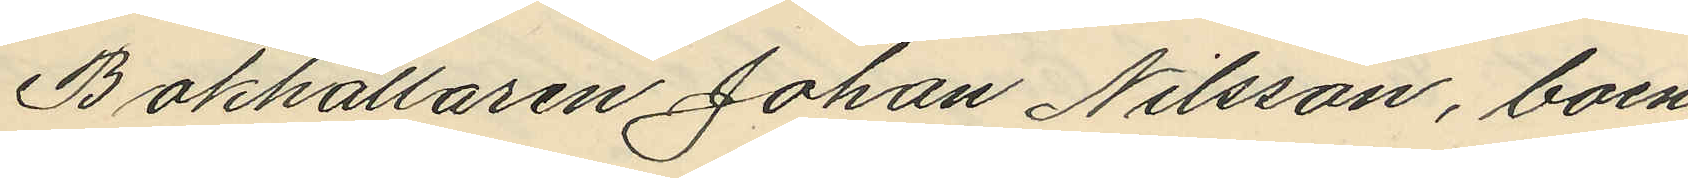Bokhållaren Johan Nilsson, boen¬
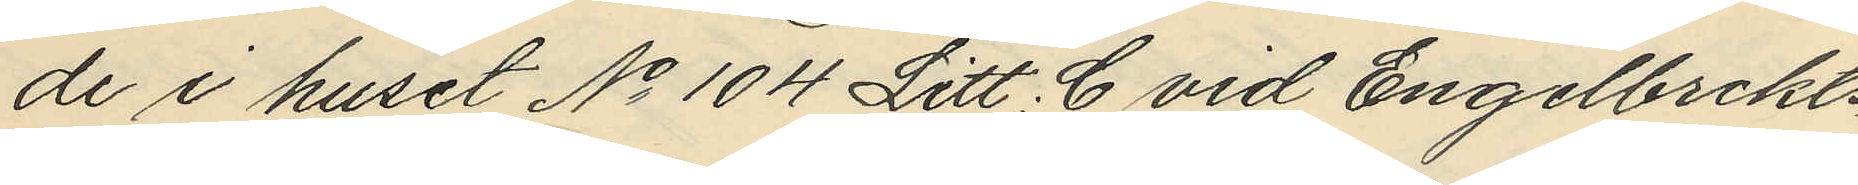de i huset No 104 Litt. C vid Engelbrekts¬
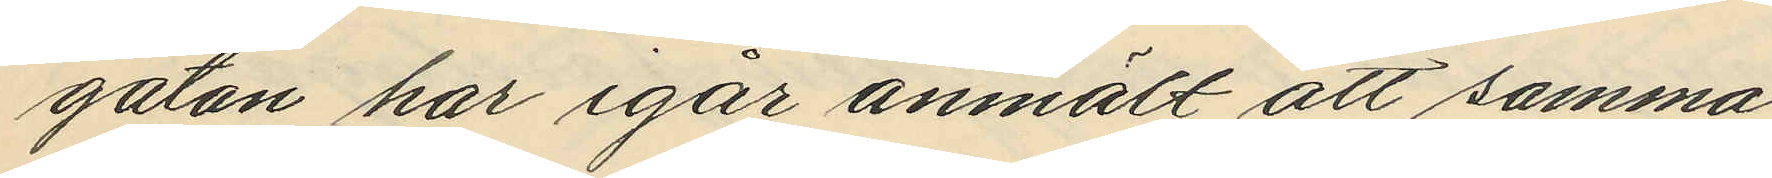gatan har igår anmält att samma
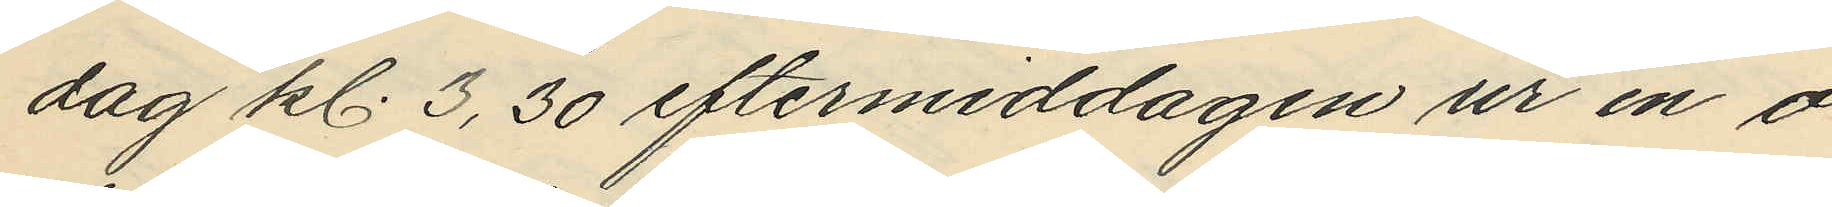dag kl. 3,30 eftermiddagen ur en o¬
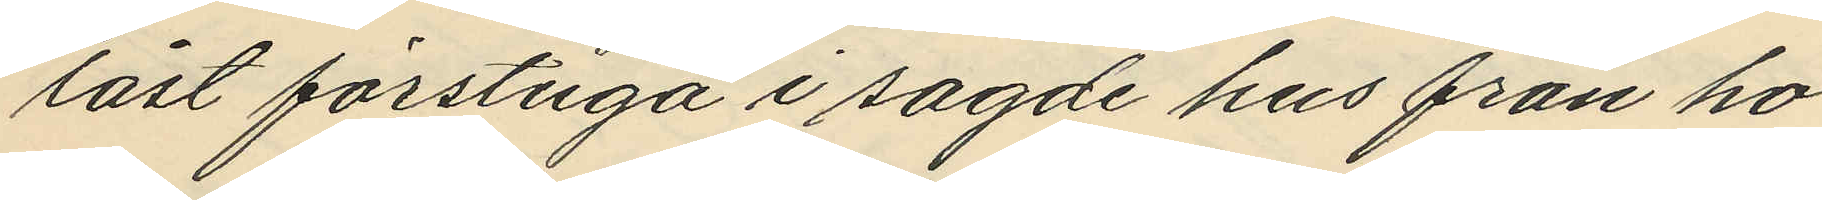låst förstuga i sagde hus från ho¬
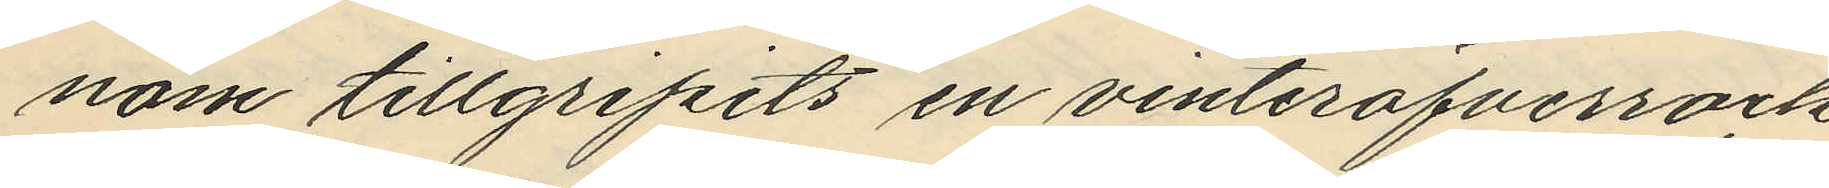nom tillgripits en vinteröfverrock
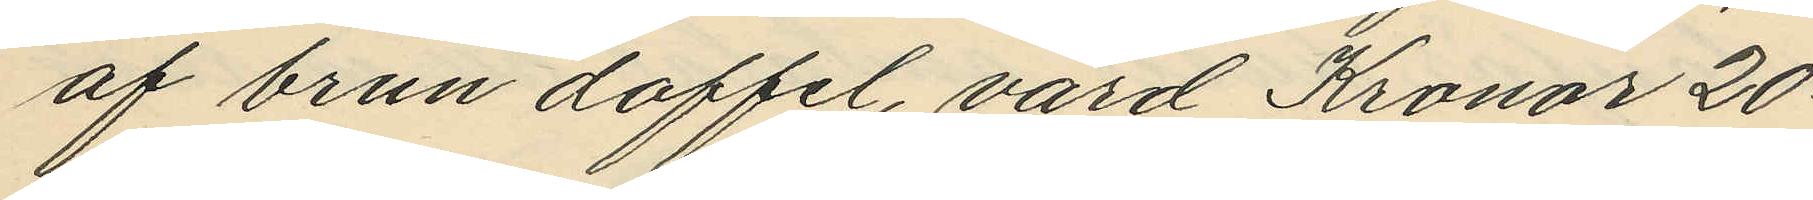af brun doffel, värd Kronor 20:
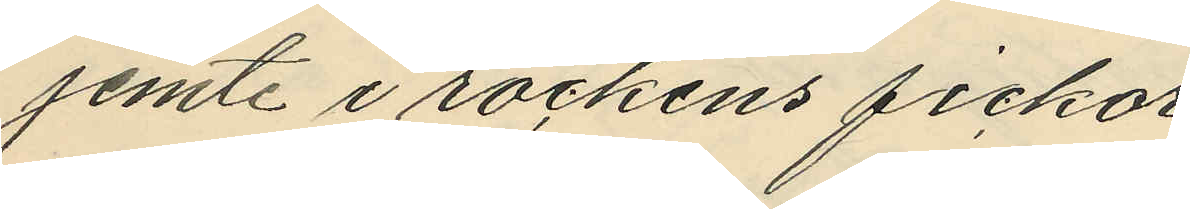jemte i rockens fickor
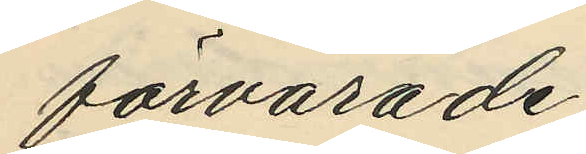förvarade:
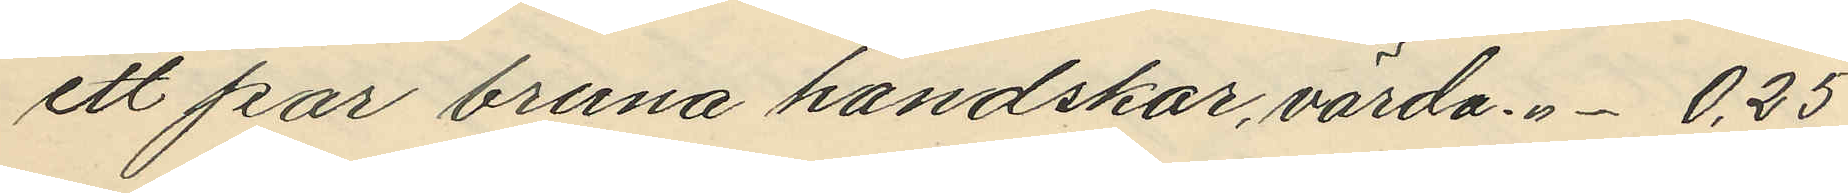ett par bruna handskar, värda "- 0,25
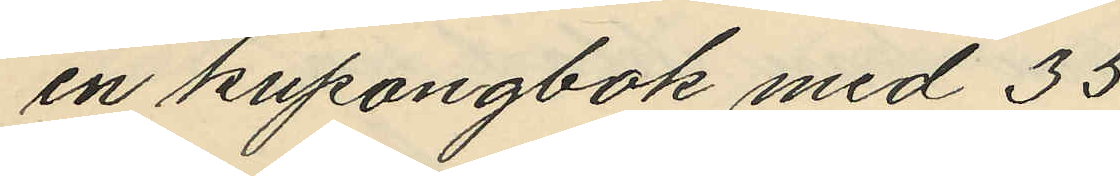en kupongbok med 35
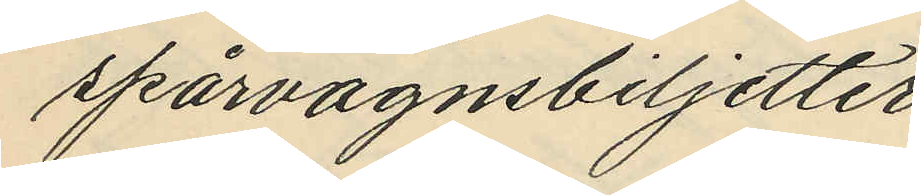spärvagnsbiljetter
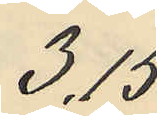3,15.
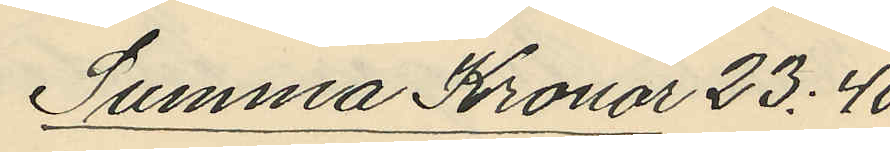Summa Kronor 23:40.
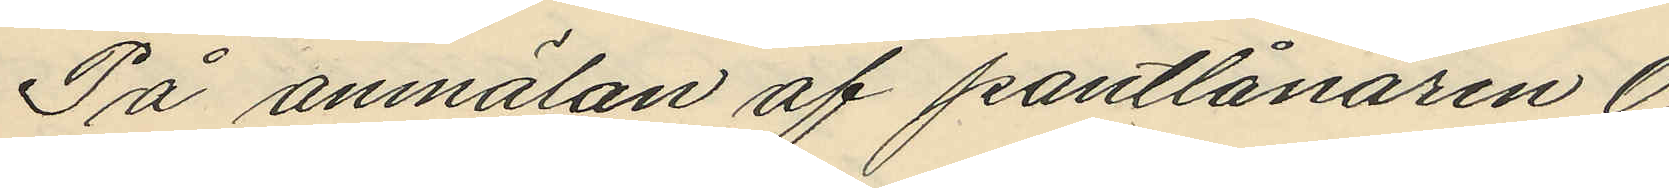På anmälan af pantlånaren O.
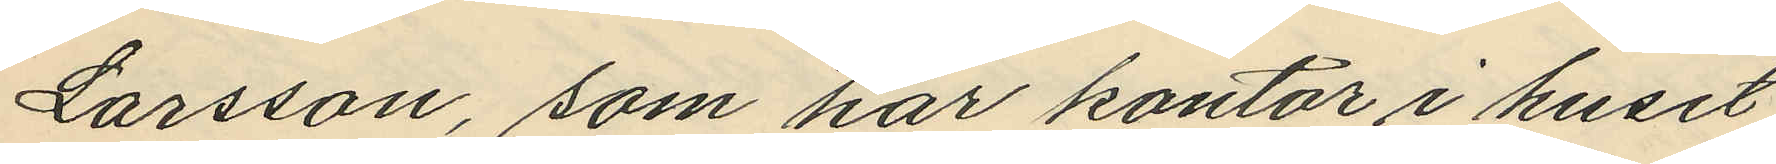Larsson, som har kontor i huset
